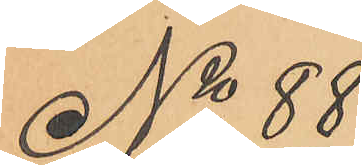No 88
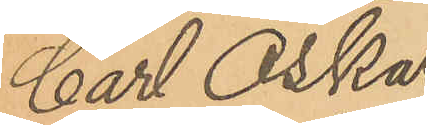Carl Oskar
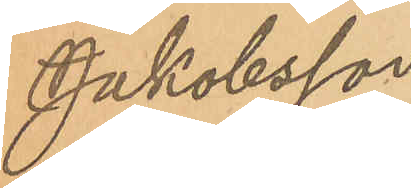Jakobsson
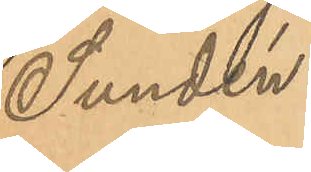Sundén.
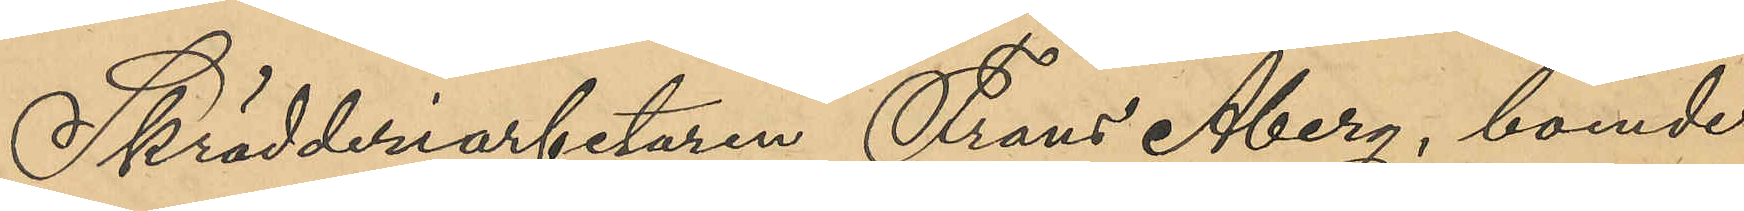Skrädderiarbetaren Frans Åberg, boende
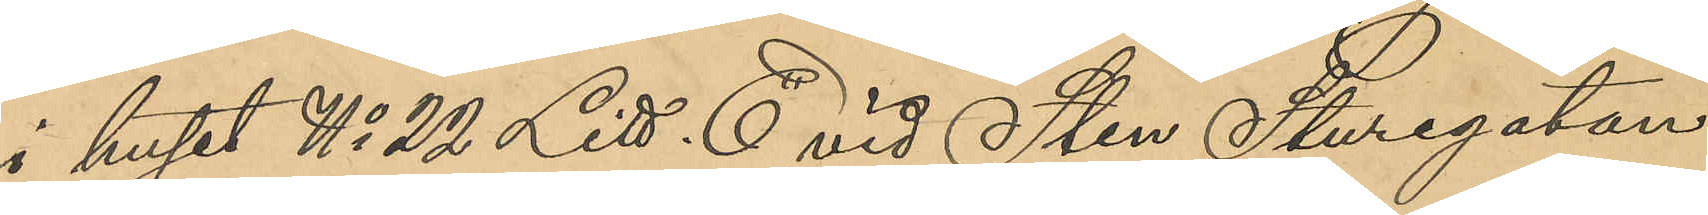i huset No 22 Litt. E vid Sten Sturegatan,
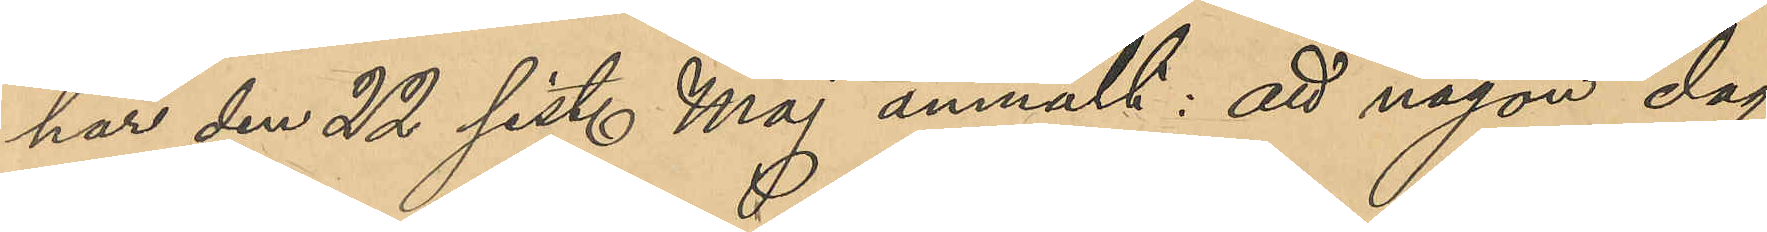har den 22 sist. Maj anmält: att någon dag
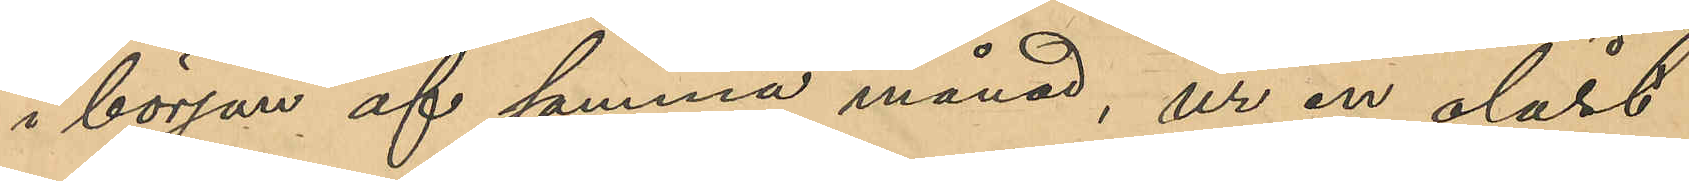i början af samma månad, ur en olåst
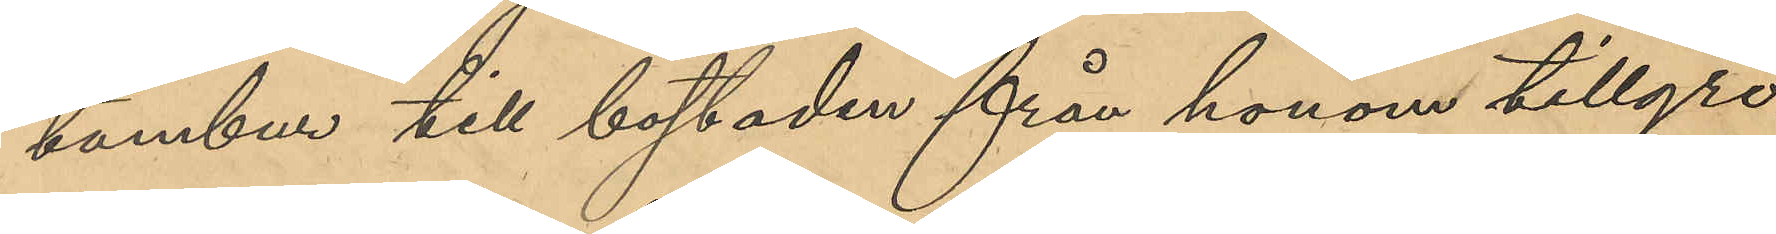tambur till bostaden från honom tillgri¬
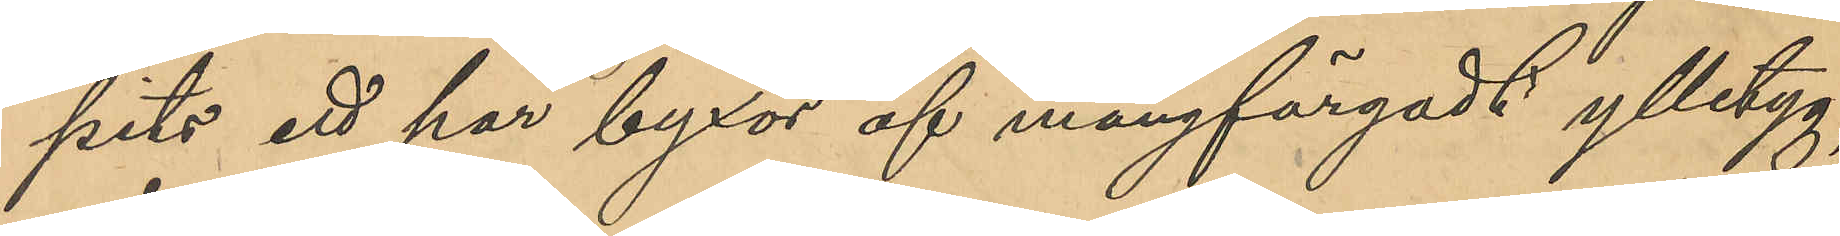pits ett par byxor af mångfärgadt ylletyg,
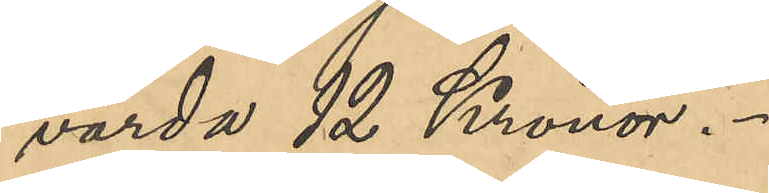värda 12 Kronor.
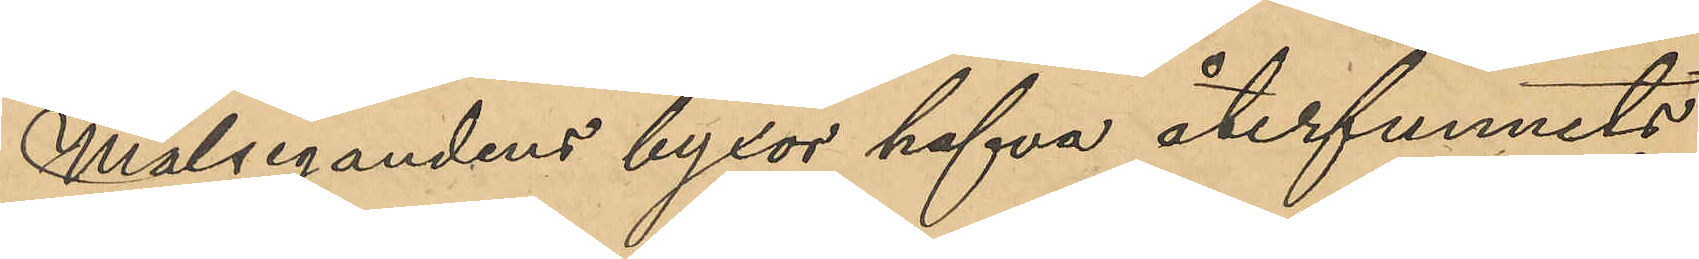Målsegandens byxor hafva återfunnits
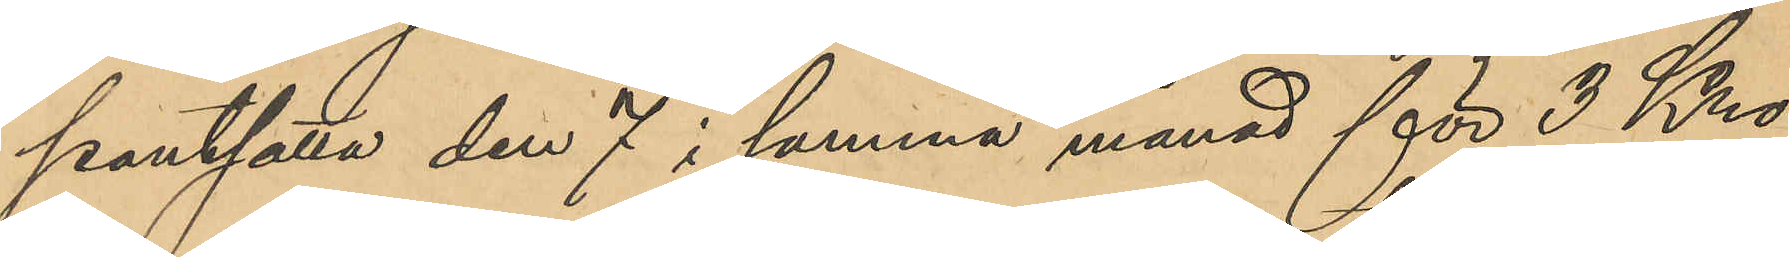pantsatta den 7 i samma månad för 3 Kro¬
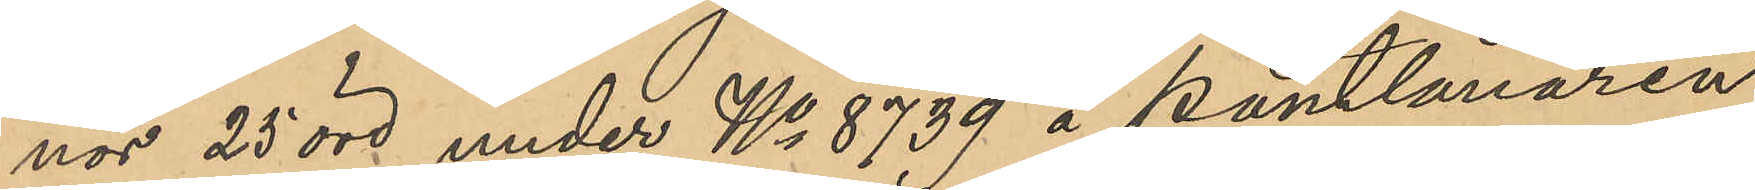nor 25 öre under No 8739 å Pantlånaren
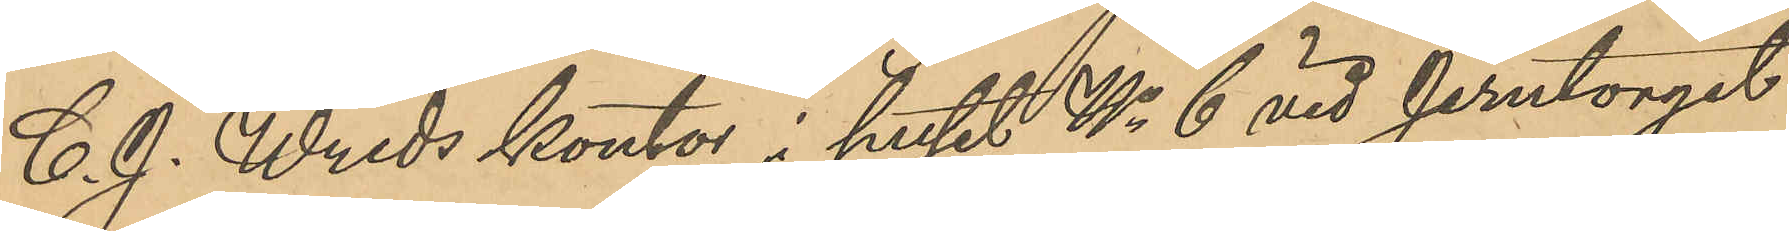C. J. Wreds kontor i huset No 6 vid Jerntorget
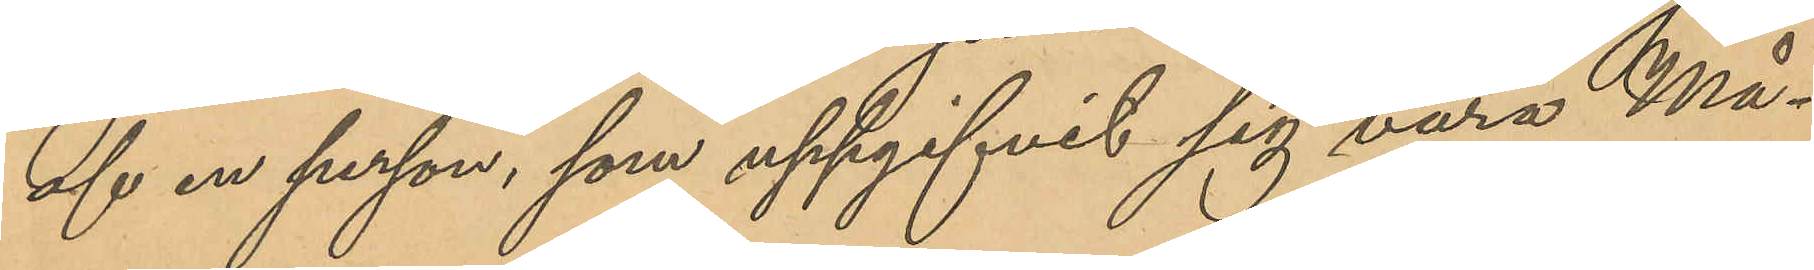af en person, som uppgifvit sig vara Må¬
